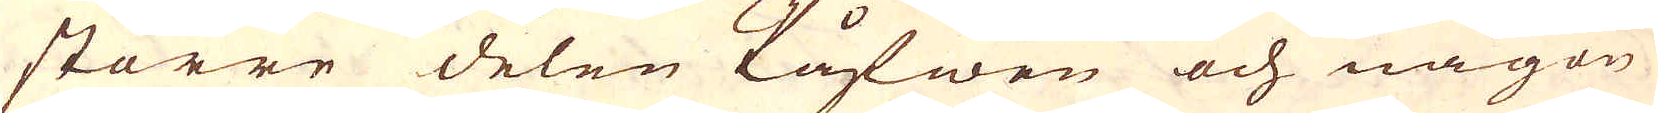större delen Påfwen och någon
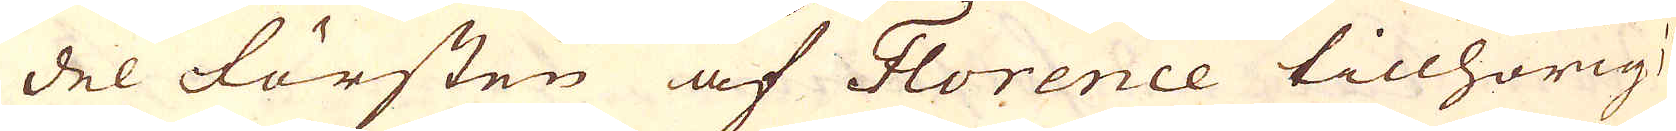del Försten af Florence tillhörig;
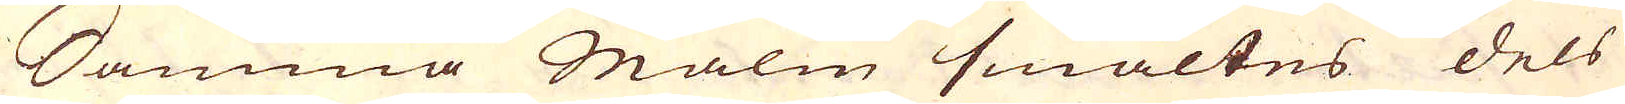Samma Malm smältes dels
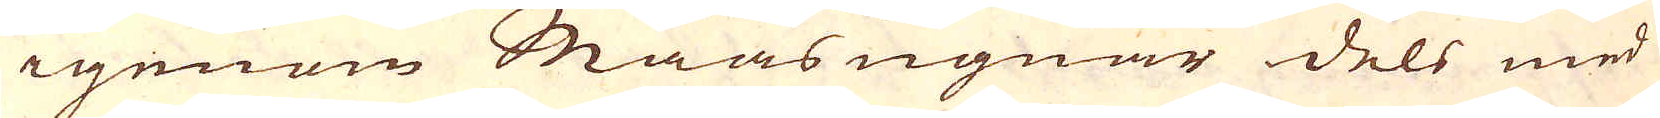igenom Maasugnar dels med
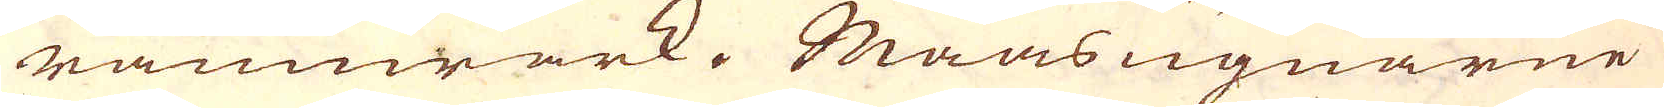rämwärk. Maasugnarne
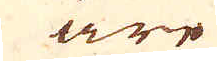äre
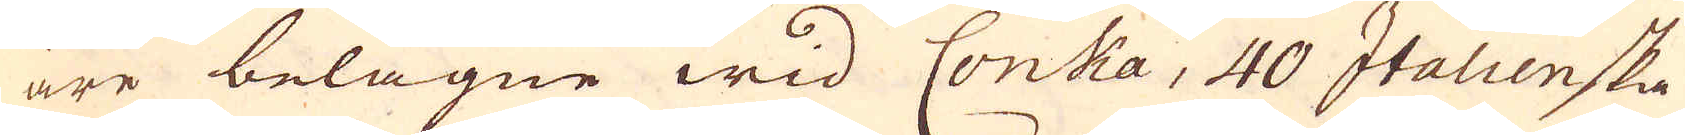äre belägne wid Conka, 40 Italienska
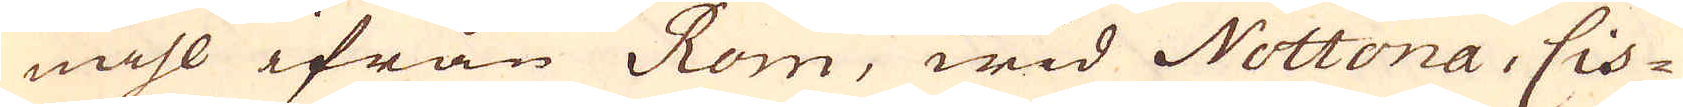mihl ifrån Rom, wid Nottona, Cis-
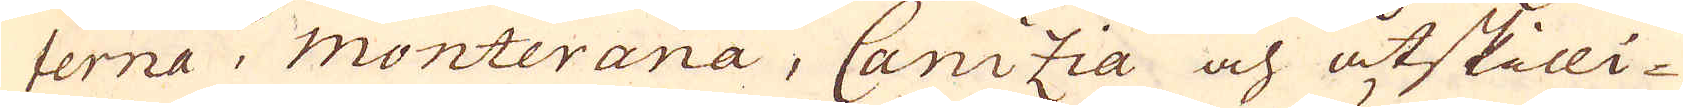terna, monterana, Canizia och åtskilli-
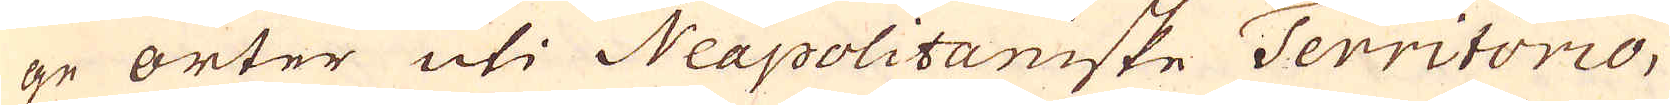ge orter uti Neapolitaniske Territorio,
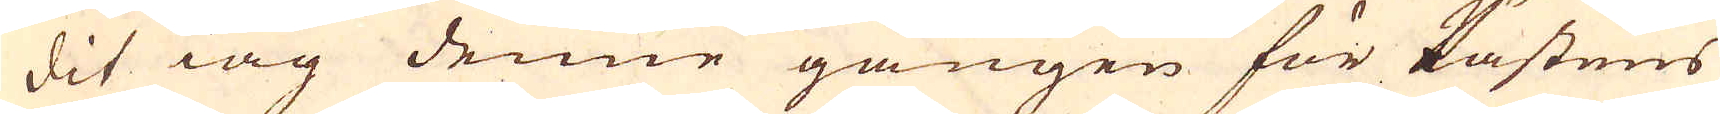dit iag denne gången för Pästens
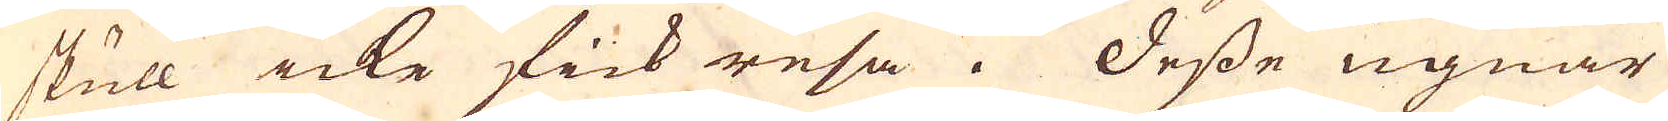skull icke fick resa. Desse ugnar
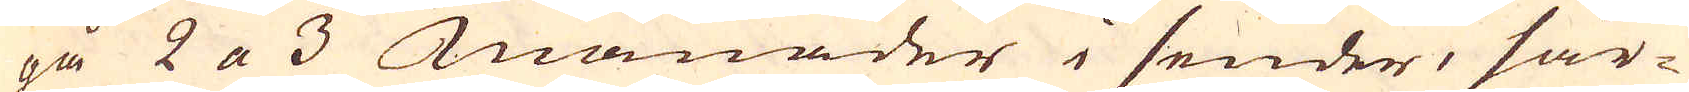gå 2 a 3 Månader i sender, sär-
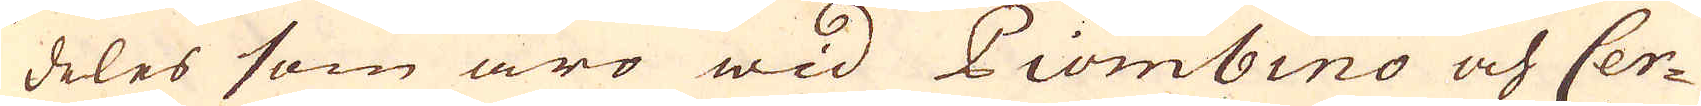deles som äro wid Piombino och Cer-
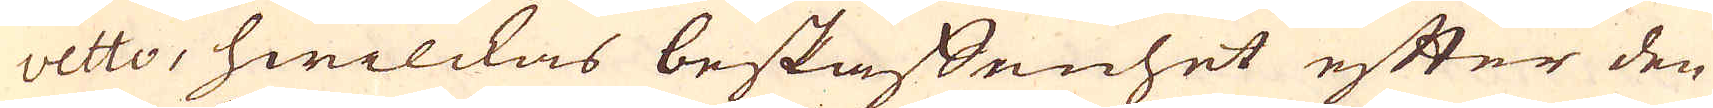vetto, hwilckas beskaffenhet efter den
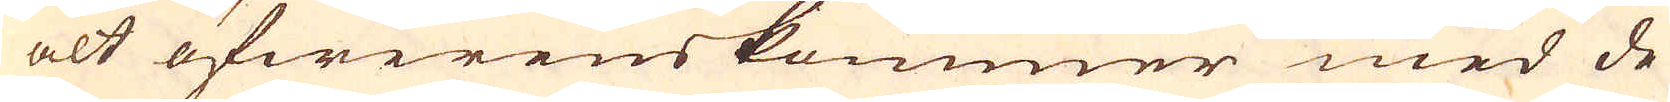alt öfwerenskommer med de
